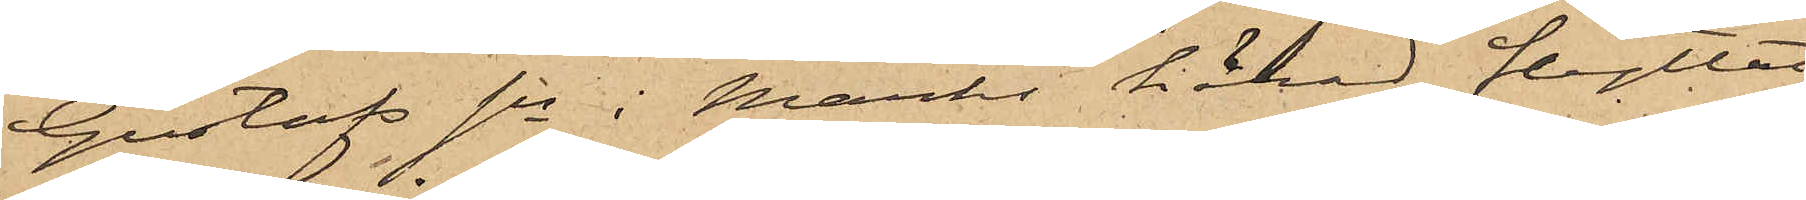Gustafs sn i Marks härad flyttat
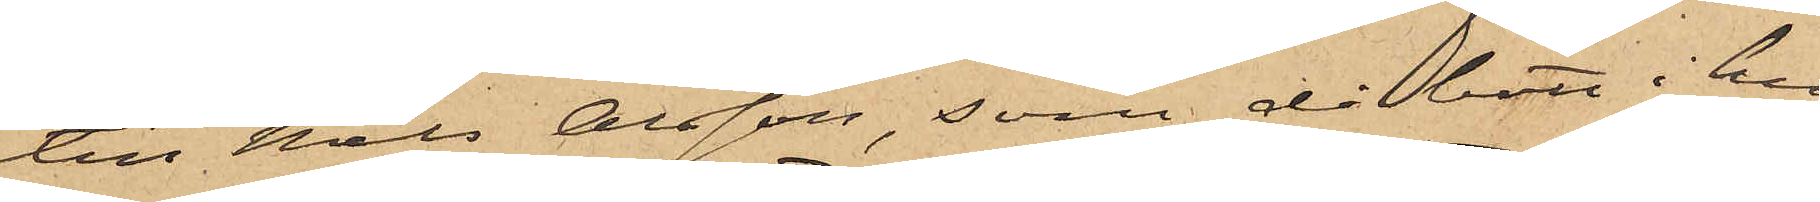till Nils Olsson, som då bott i hu¬
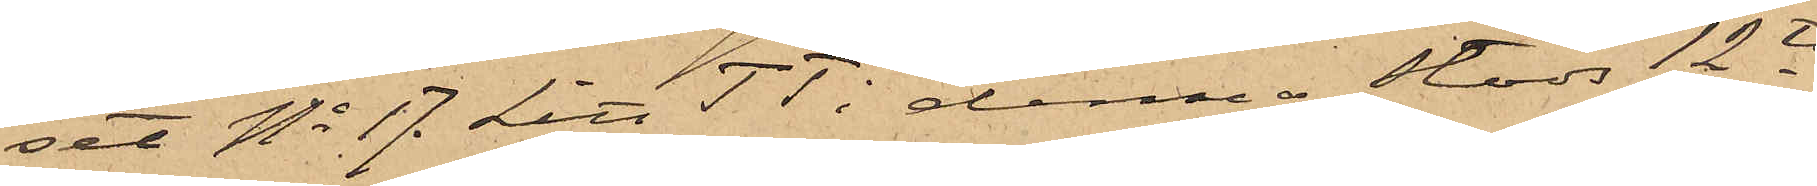set No 17. Litt TT i denna stads 12te
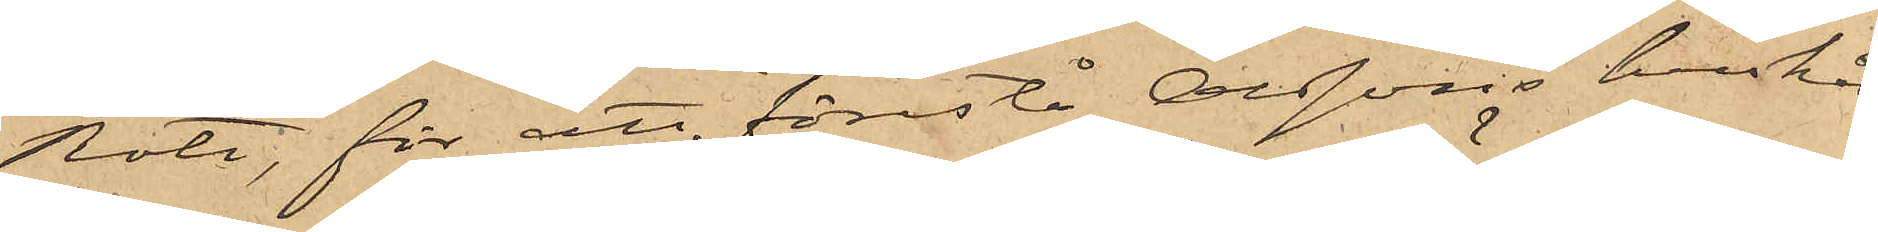Rote, för att förestå Olssons hushåll
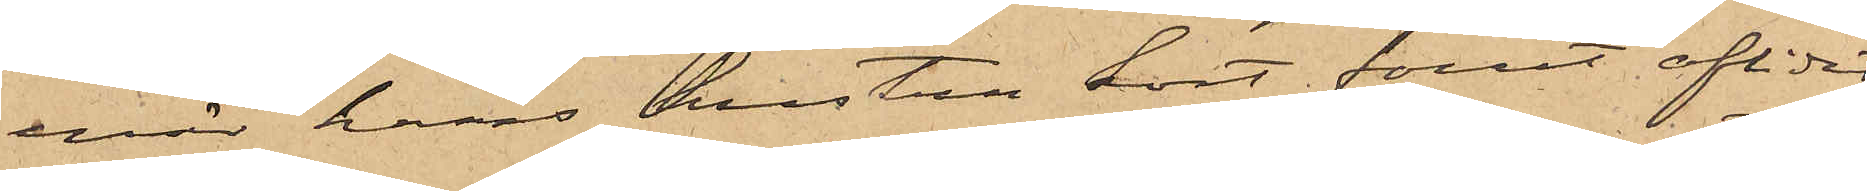enär hans hustru kort förut aflidit;
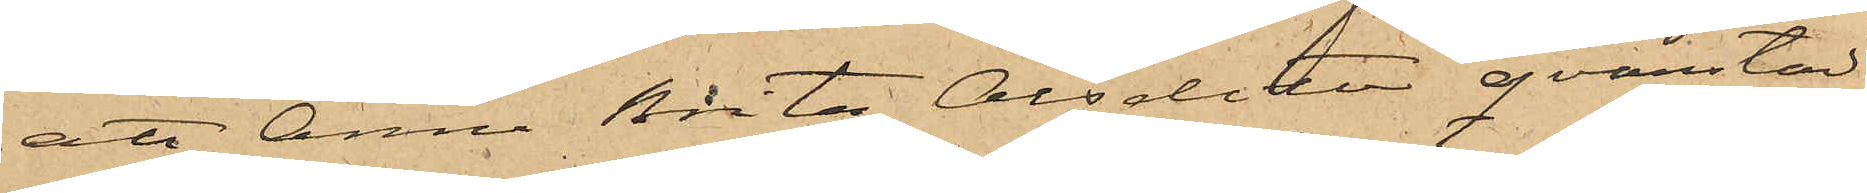att Anna Brita Olsdotter qvarstan¬
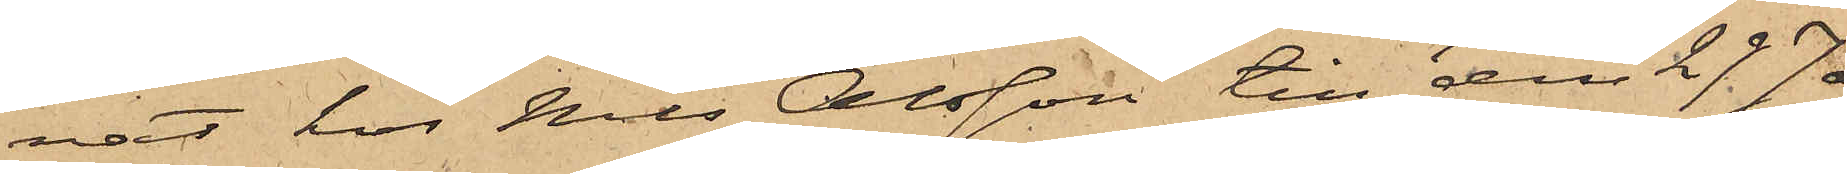nat hos Nils Olsson till den 29 Ja¬
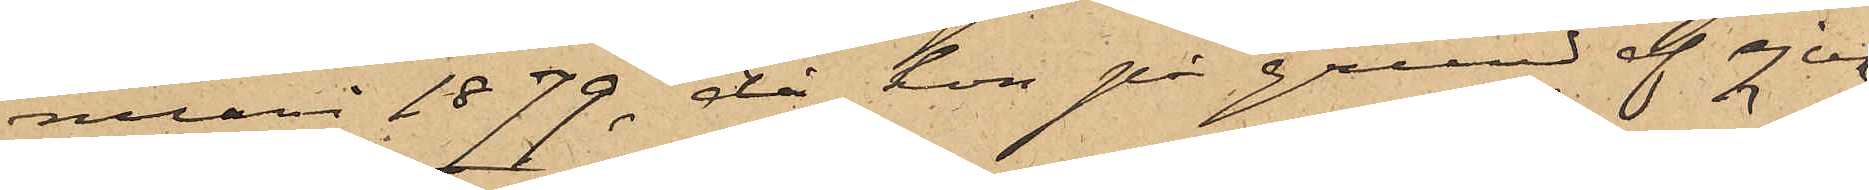nuari 1879, då hon på grund af sjuk¬
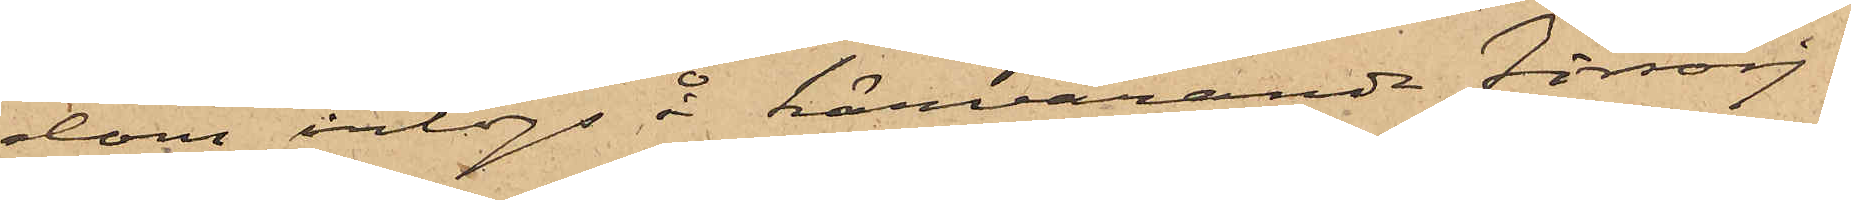dom intogs å härvarande försörj¬
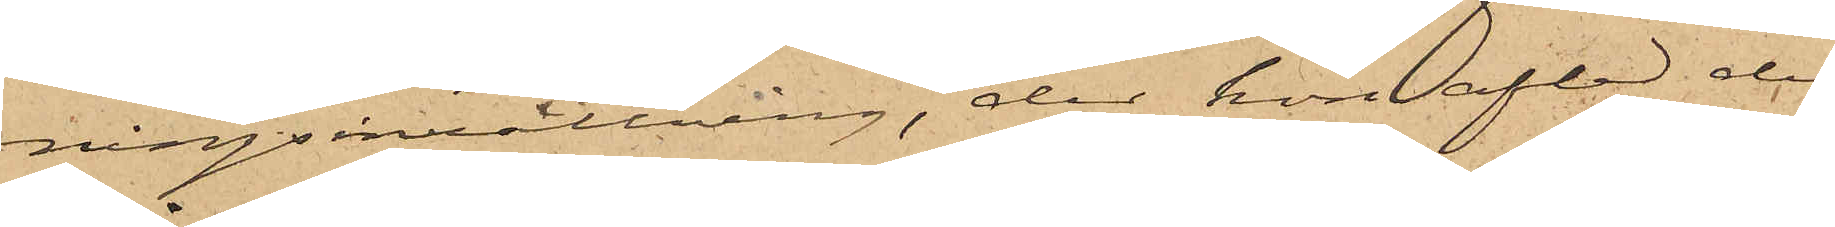ningsinrättning, der hon afled den
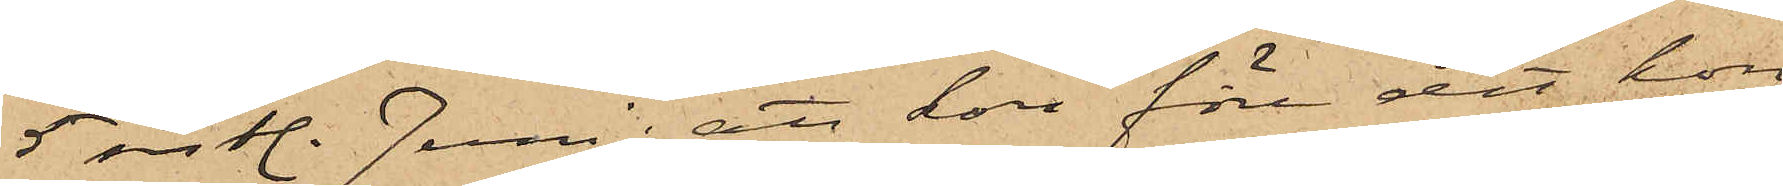5 sistl. Juni; att hon före det hon
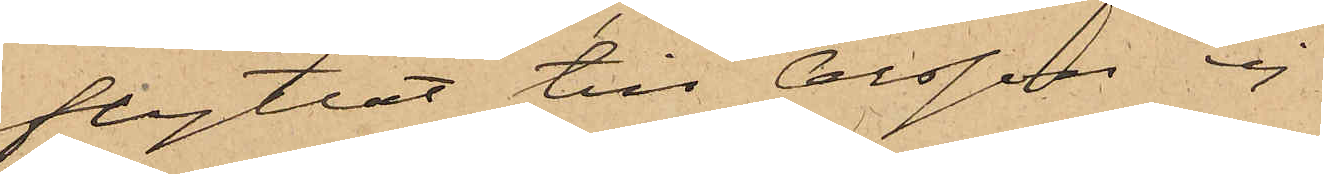flyttat till Olsson ej
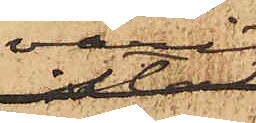varit
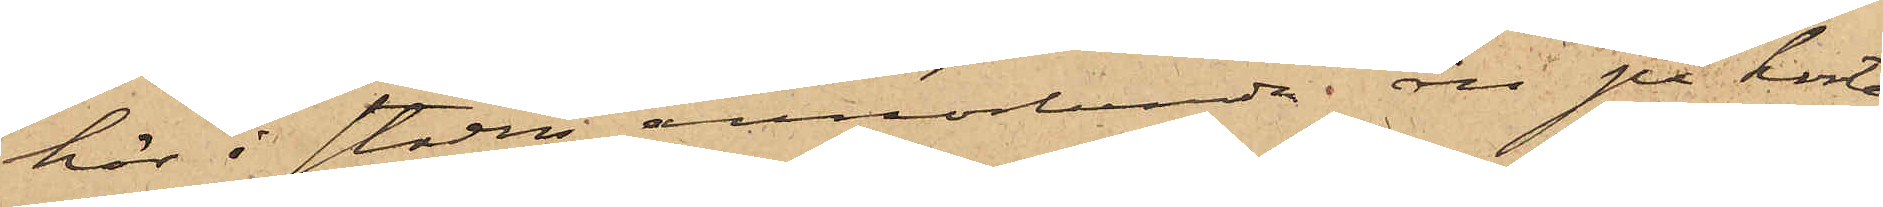här i staden annorlunda än på korta¬
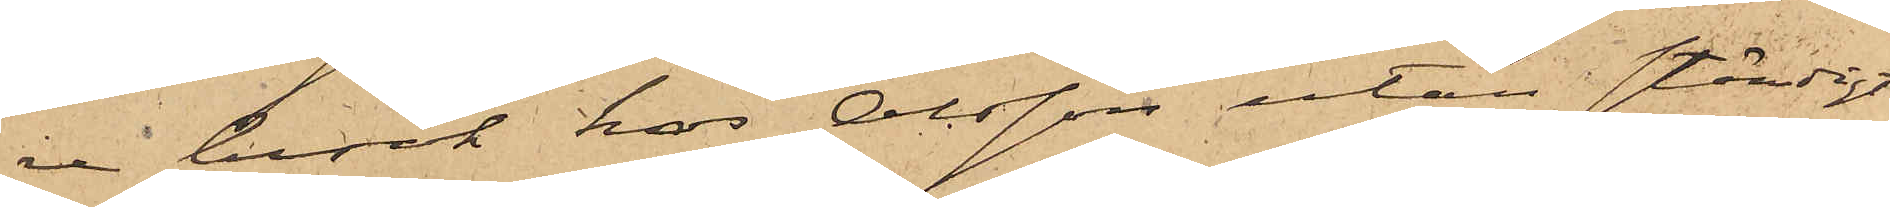re besök hos Olsson utan ständigt
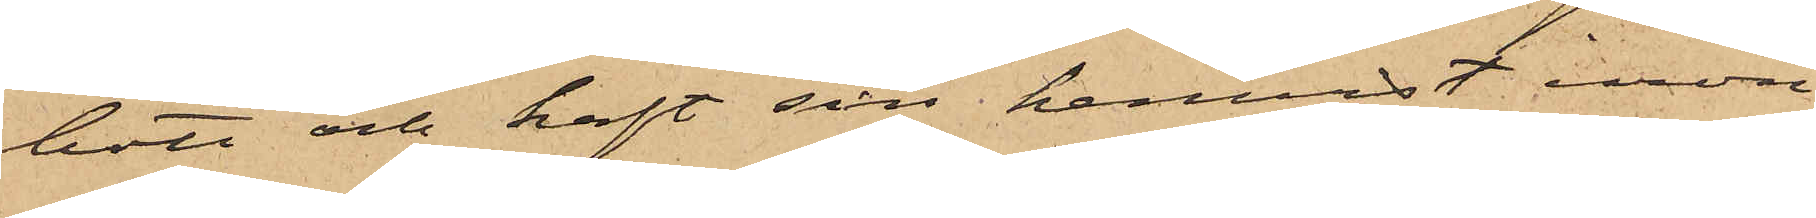bott och haft sin hemvist inom
